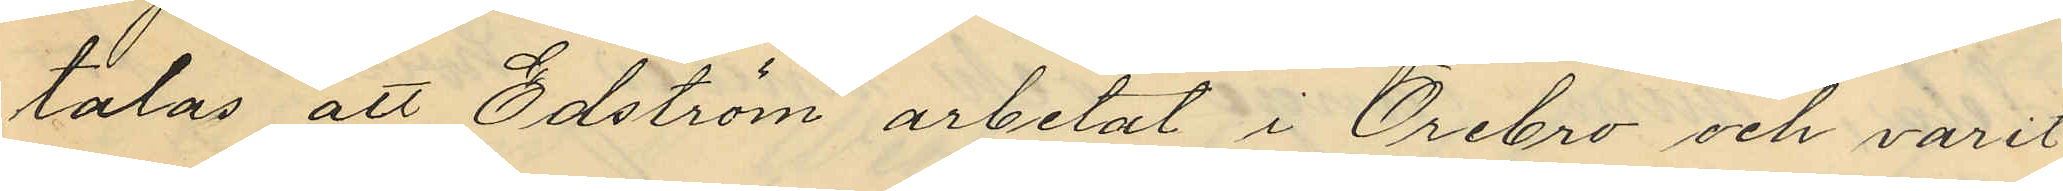talas att Edström arbetat i Örebro och varit
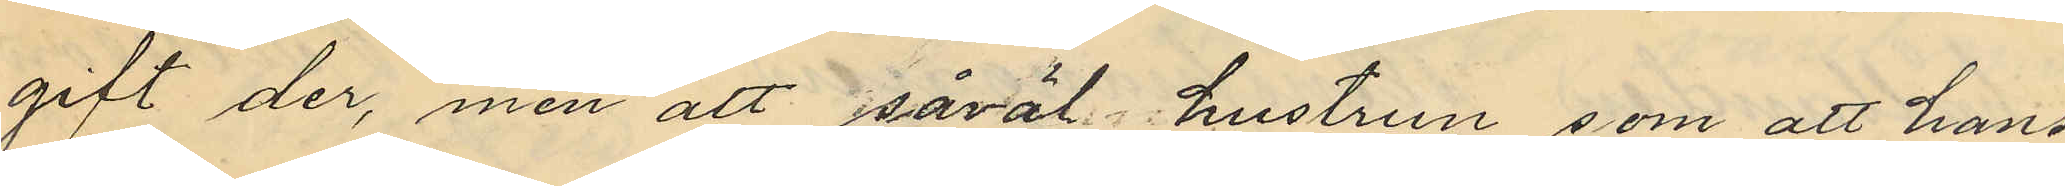gift der, men att såväl hustrun som att hans
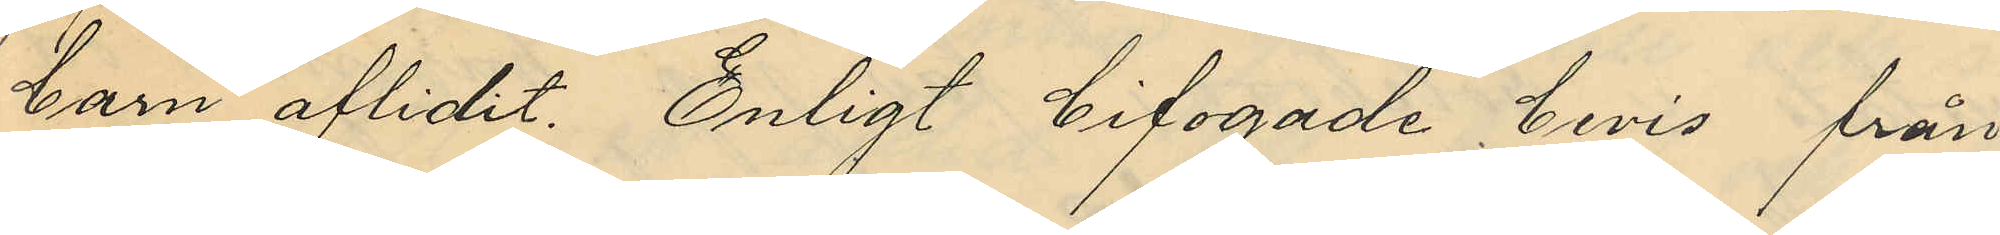barn aflidit. Enligt bifogade bevis från
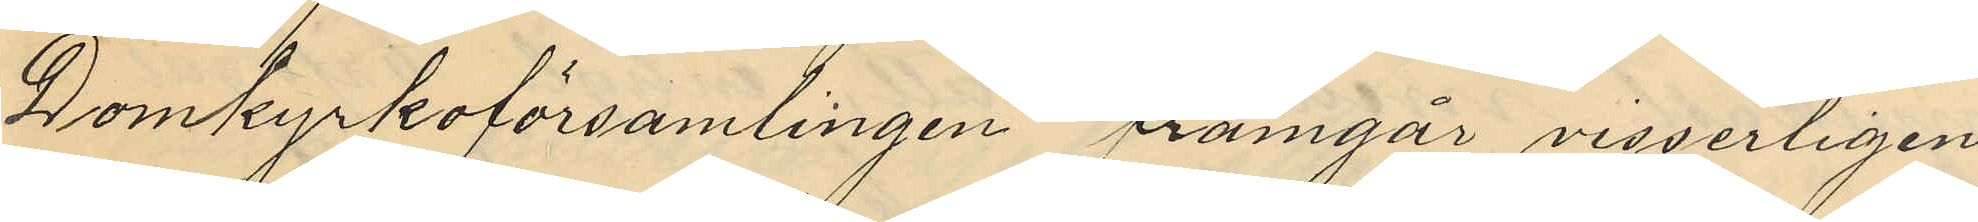Domkyrkoförsamlingen framgår visserligen
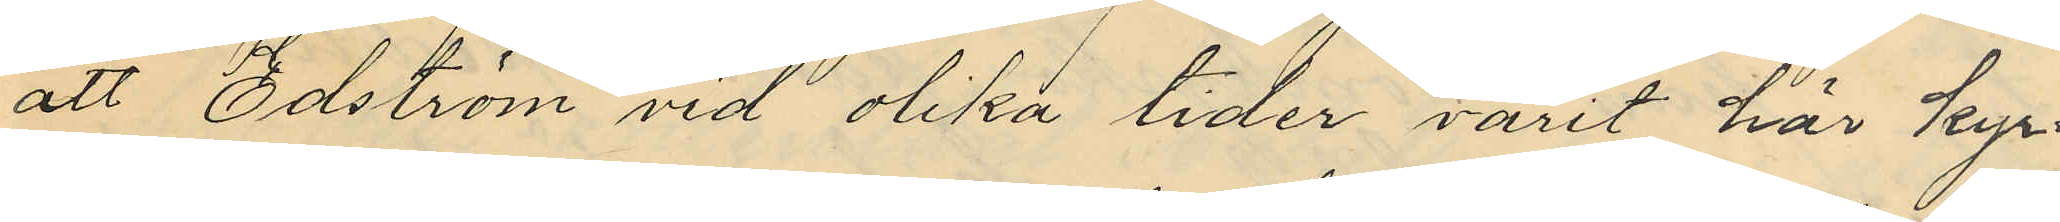att Edström vid olika tider varit här kyr¬
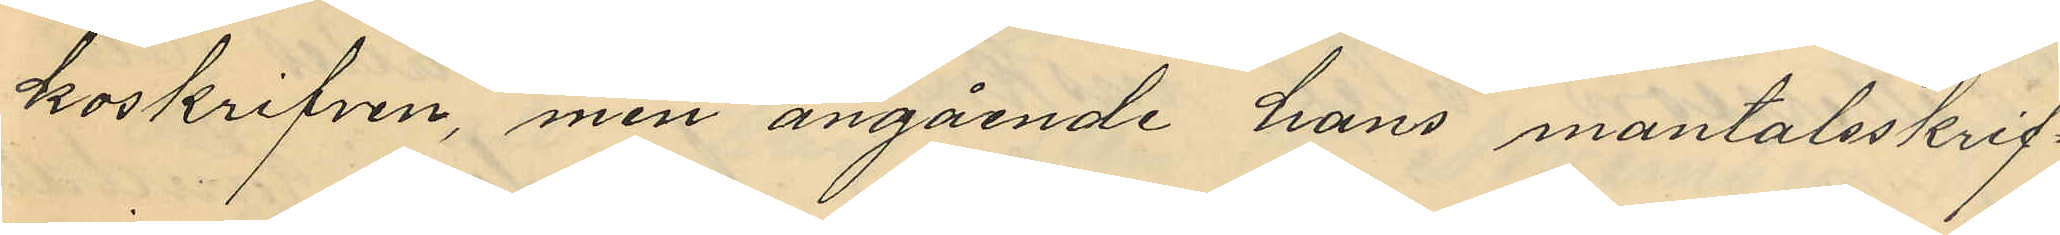koskrifven, men angående hans mantalsskrif¬
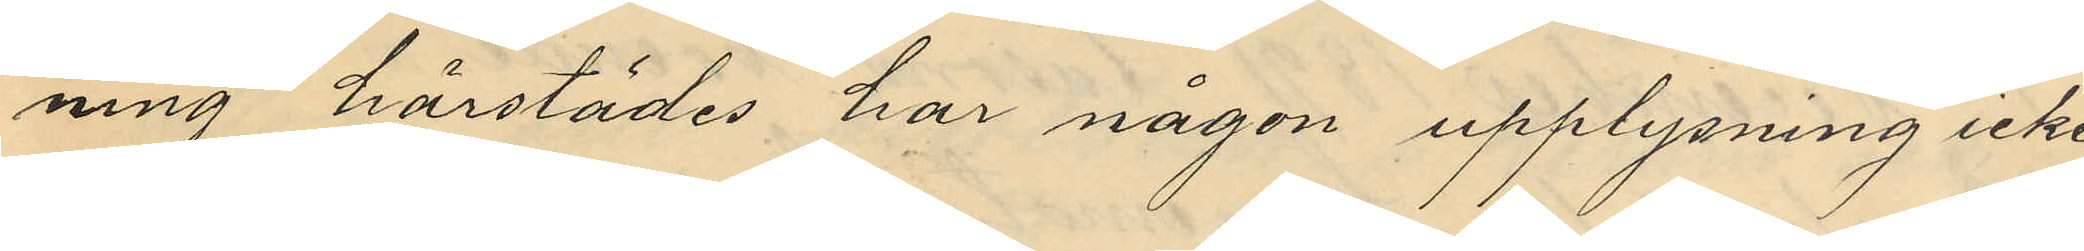ning härstädes har någon upplysning icke
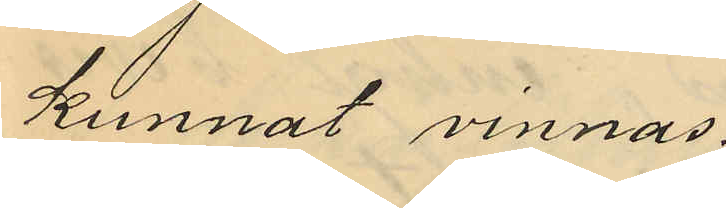kunnat vinnas.
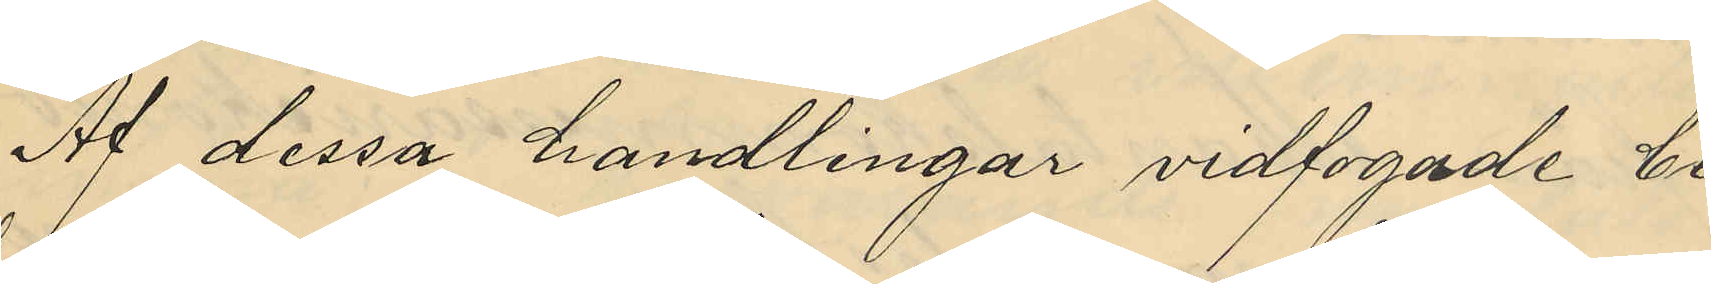Af dessa handlingar vidfogade be¬
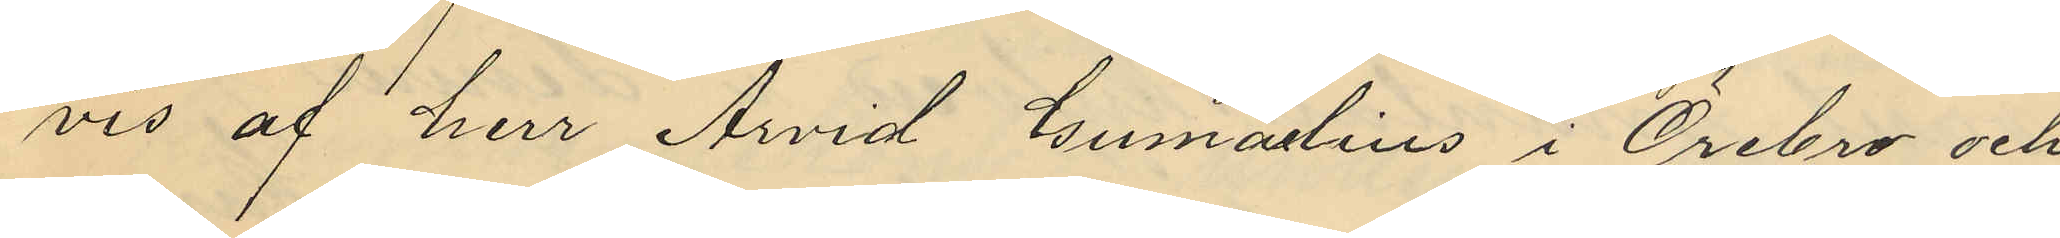vis af herr Arvid Gumaelius i Örebro och
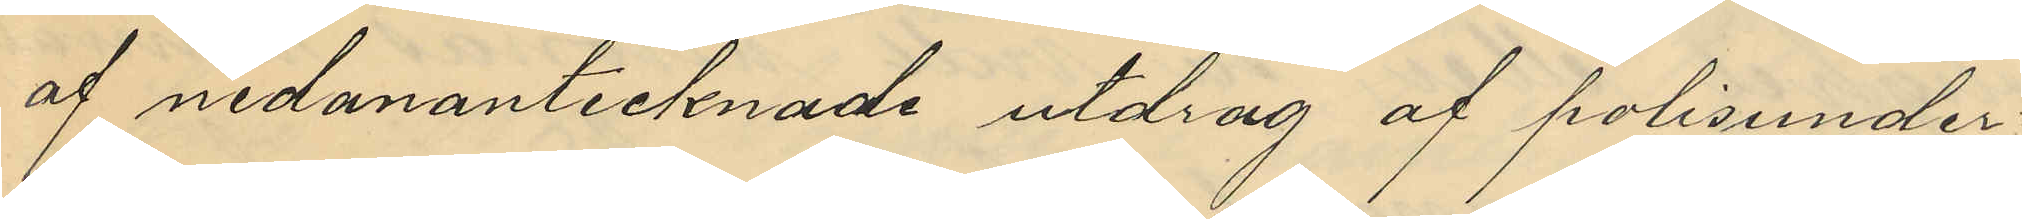af nedanantecknade utdrag af polisunder¬
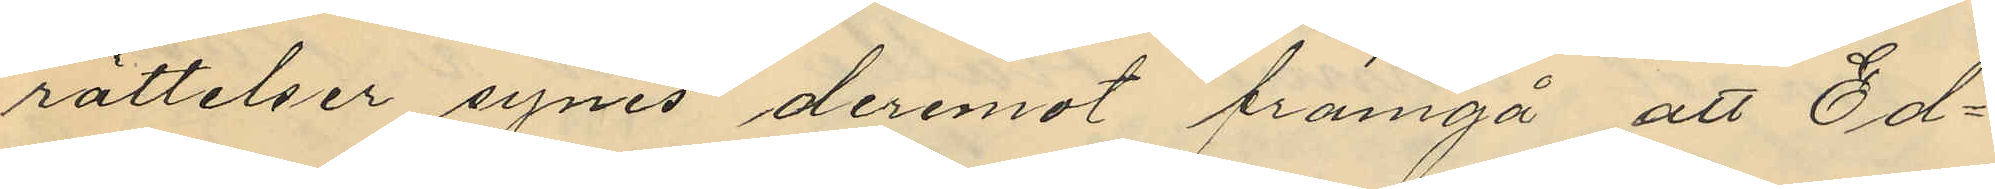rättelser synes deremot framgå att Ed¬
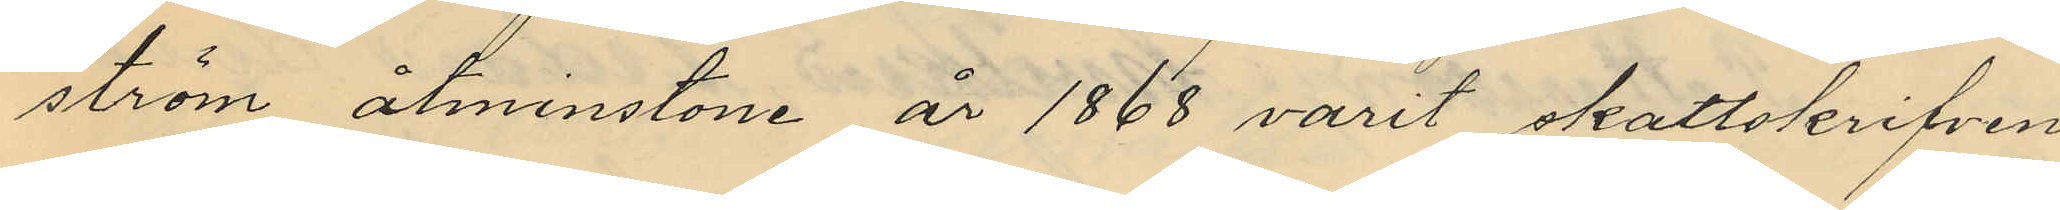ström åtminstone år 1868 varit skattskrifven
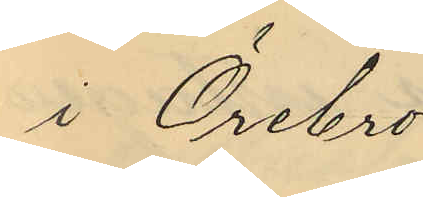i Örebro.
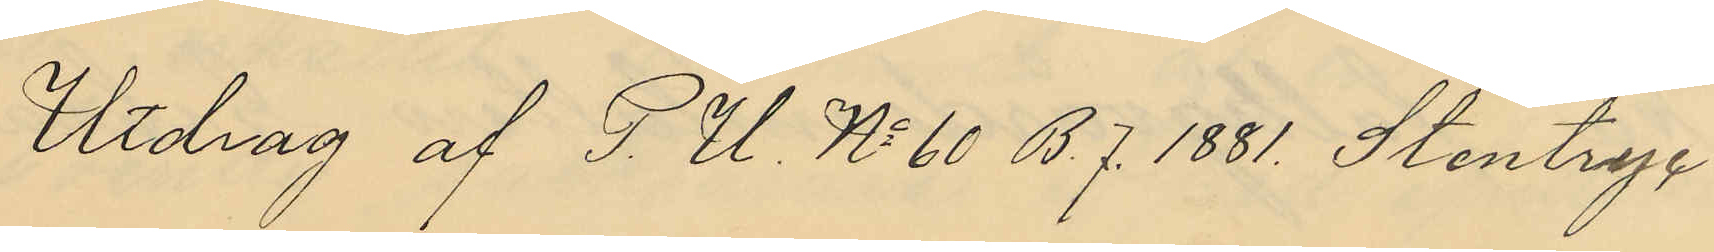Utdrag af P. U. No 60 B.7. 1881 Stentryc¬
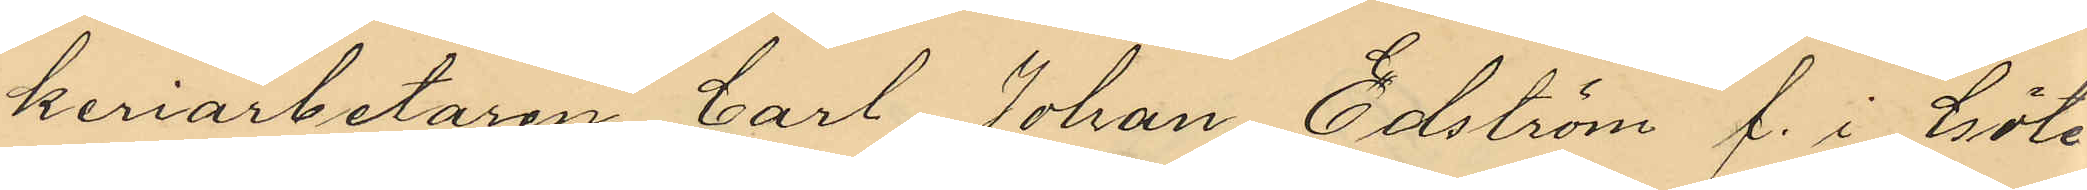keriarbetaren Carl Johan Edström f. i Göte¬
